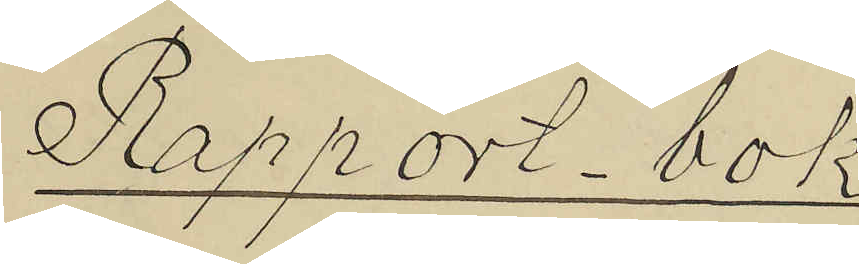Rapport-bok
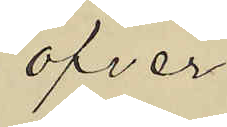öfver
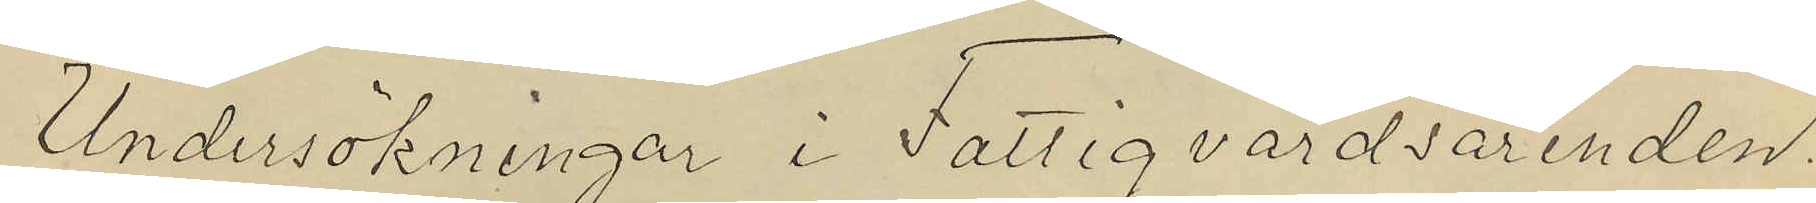Undersökningar i Fattigvårdsärenden.
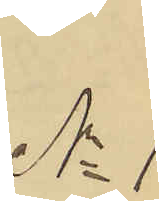No 1
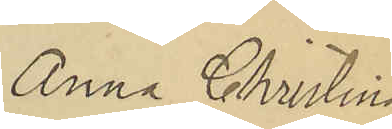Anna Christina
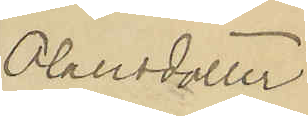Olausdotter.
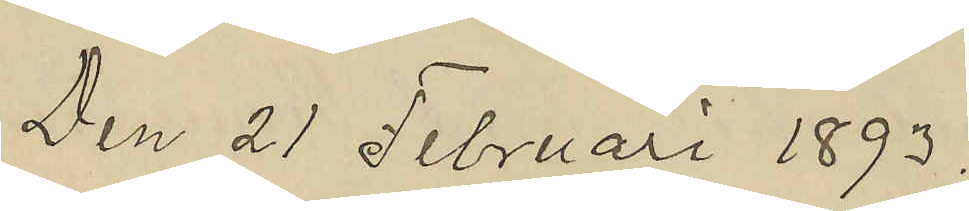Den 21 Februari 1893.
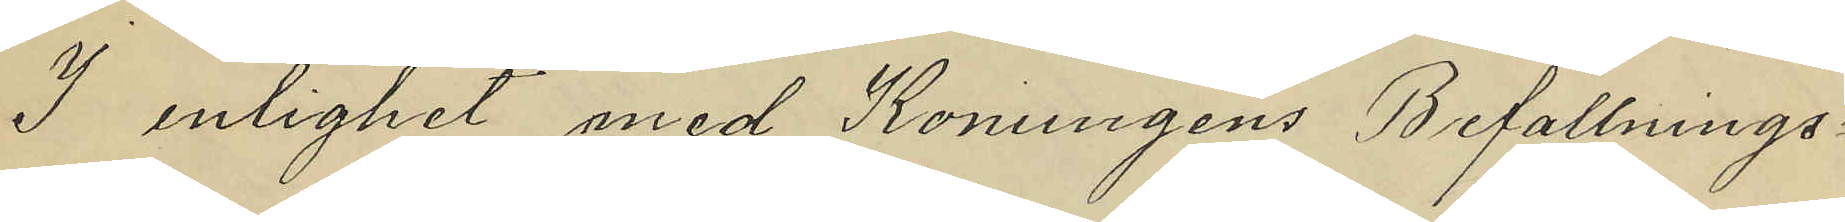I enlighet med Konungens Befallnings¬
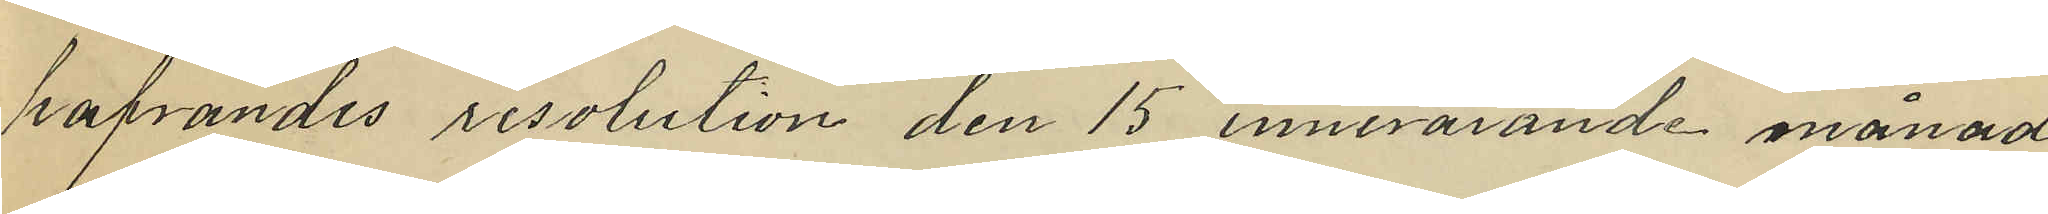hafvandes resolution den 15 innevarande månad,
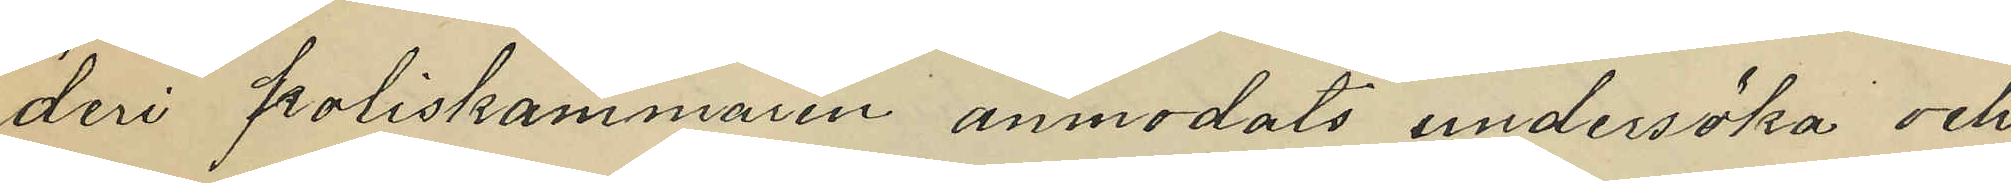deri poliskammaren anmodats undersöka och
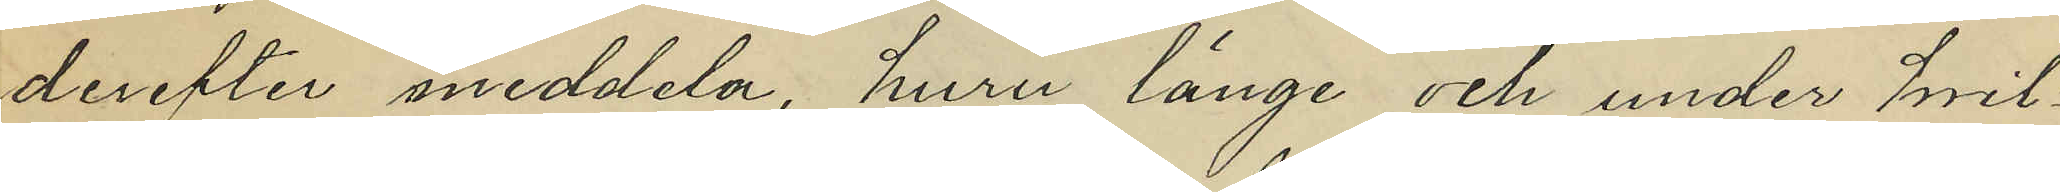derefter meddela, huru länge och under hvil¬
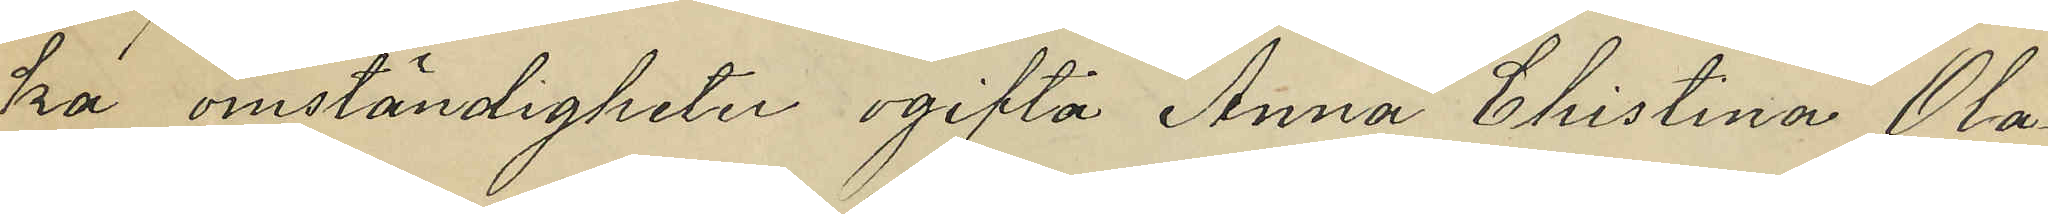ka omständigheter ogifta Anna Christina Ola¬
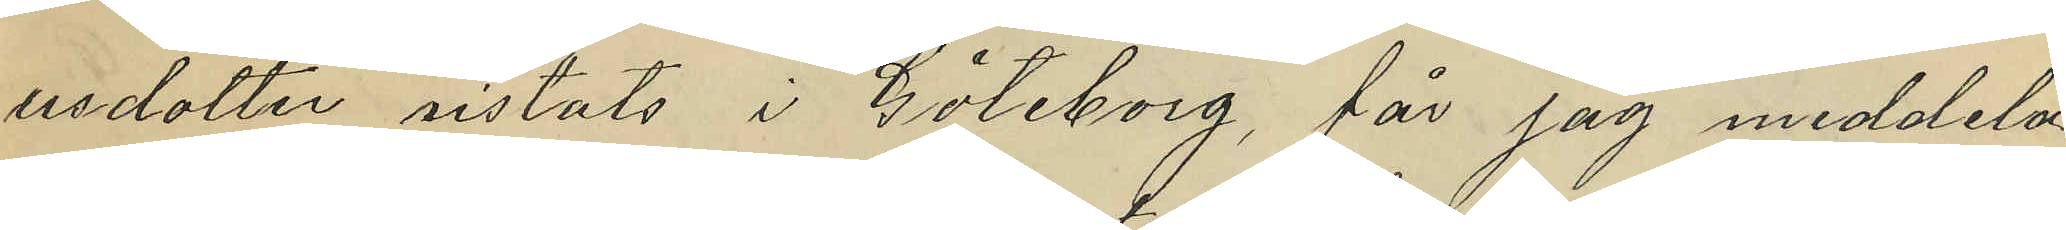usdotter vistats i Göteborg, får jag meddela,
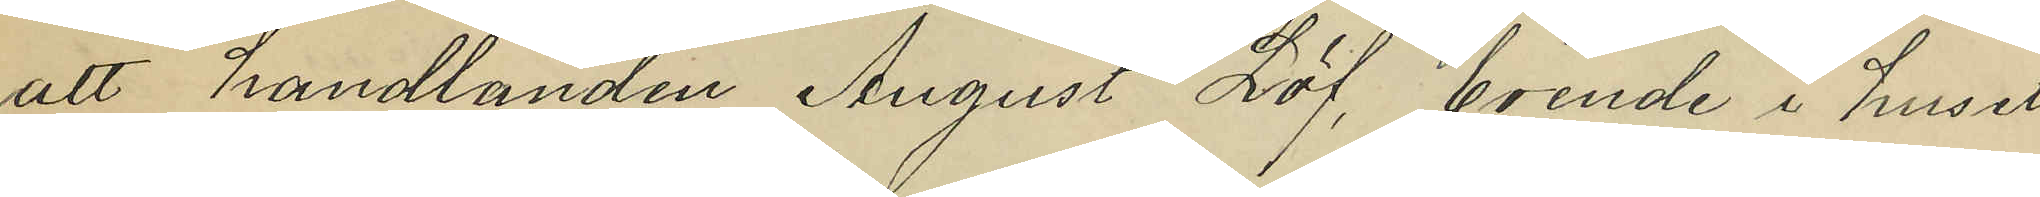att handlanden August Löf, boende i huset
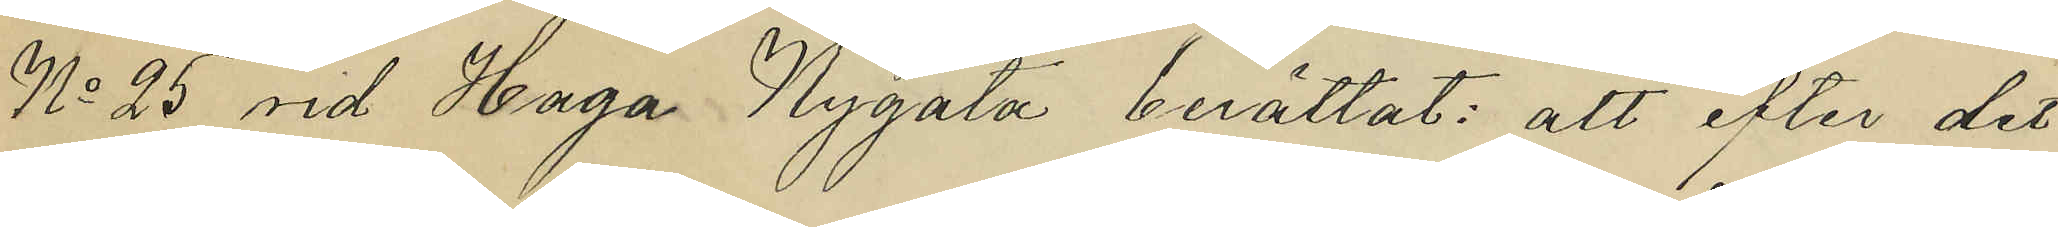No 25 vid Haga Nygata berättat: att efter det
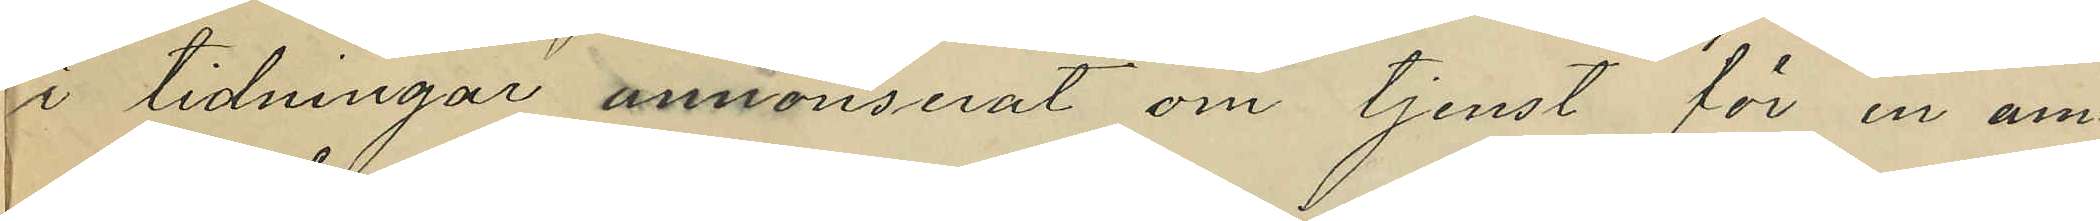i tidningar annonserat om tjenst för en am¬
